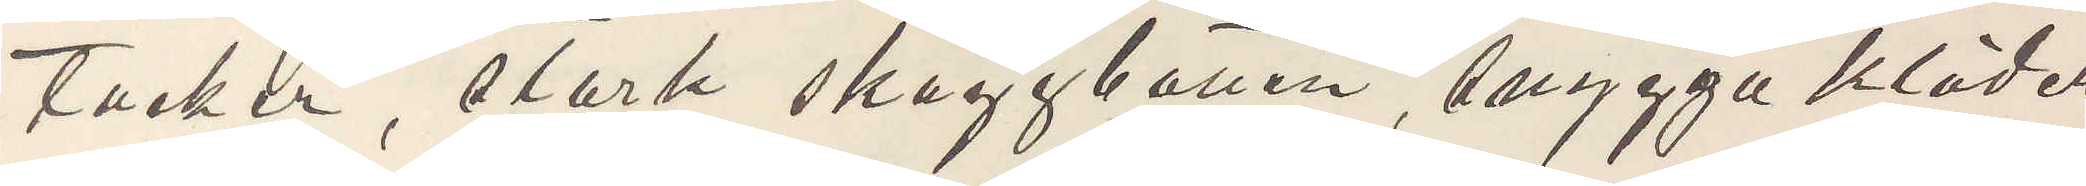tacher, stark skäggbotten, snygga kläder
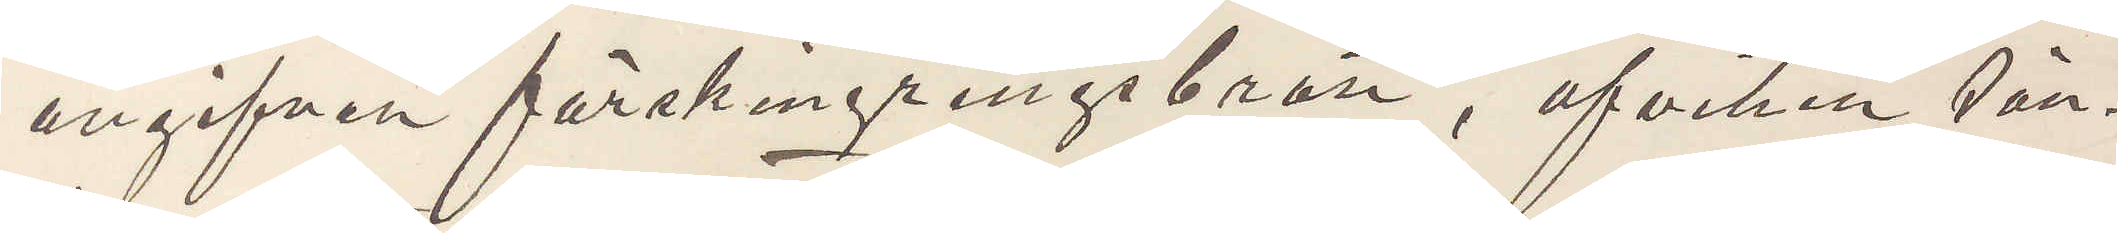angifven förskingringsbrott, afviken sön¬
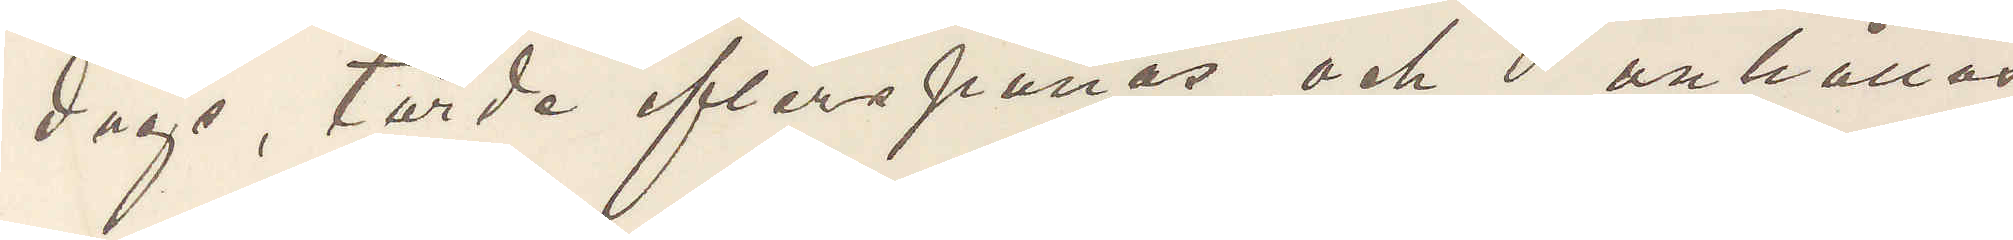dags, torde efterspanas och anhållas
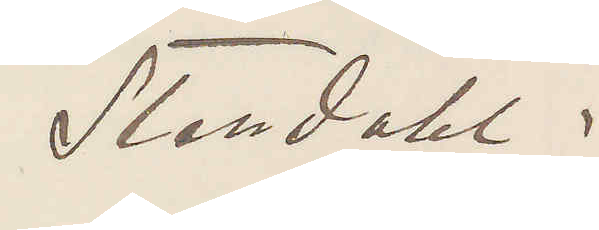Stendahl.
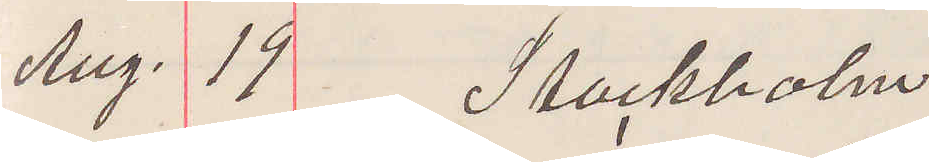Aug. 11 Stockholm
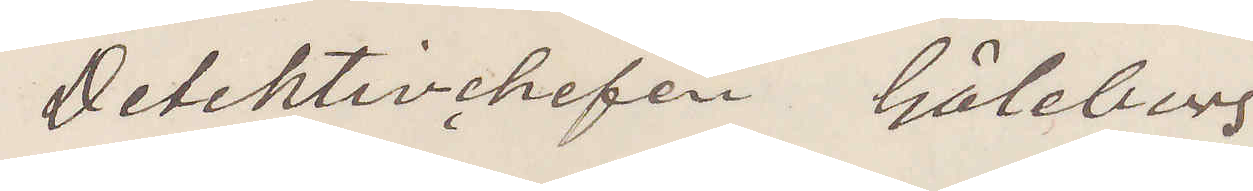Detektivchefen Göteborg
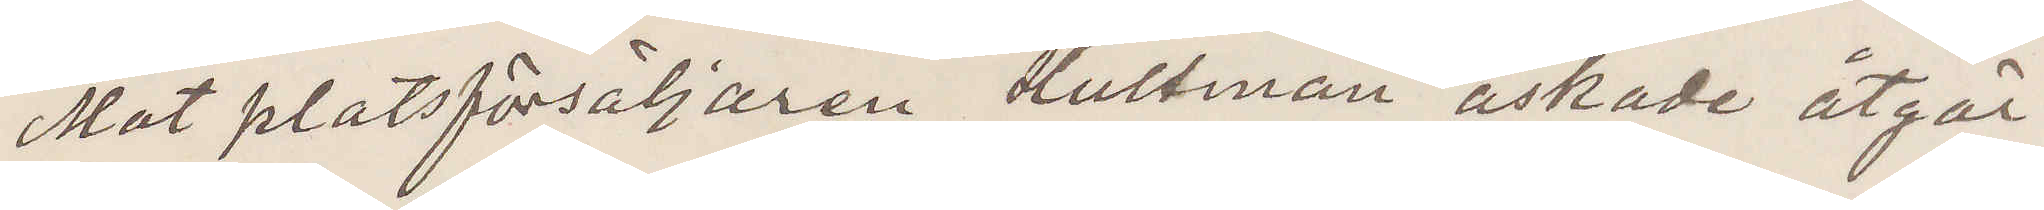Mot platsförsäljaren Hultman äskade åtgär¬
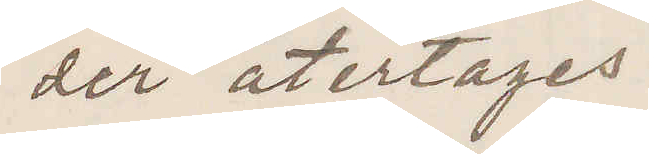der återtages.
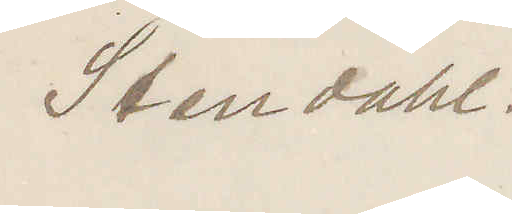Stendahl.
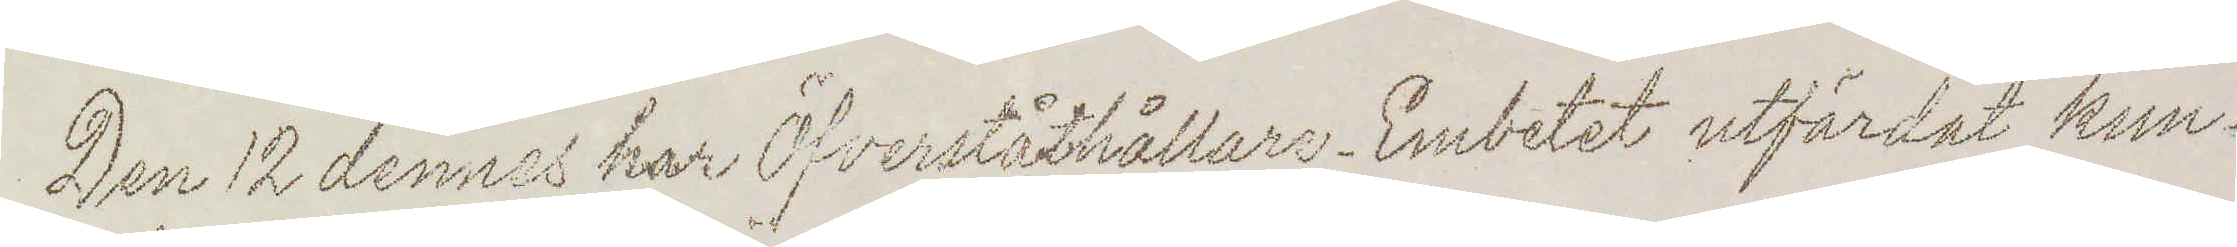Den 12 dennes har Öfverståthållare-Embetet utfärdat kun¬
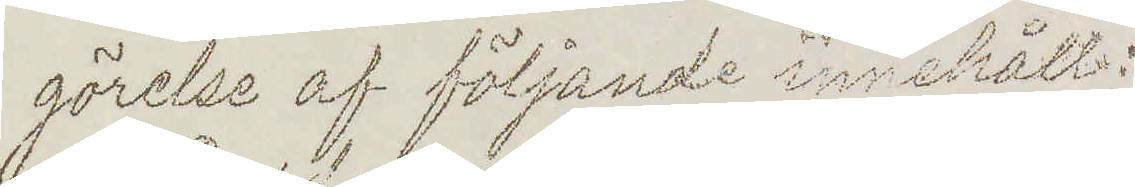görelse af följande innehåll:
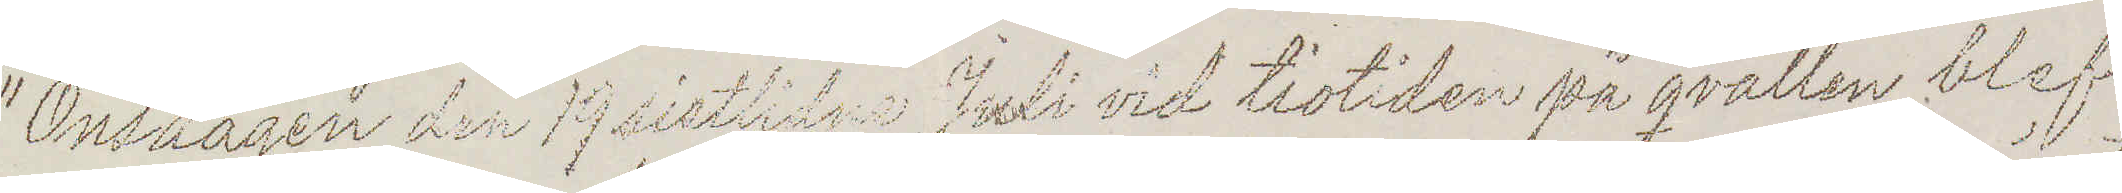"Onsdagen den 19 sistlidne Juli vid tiotiden på qvällen blef
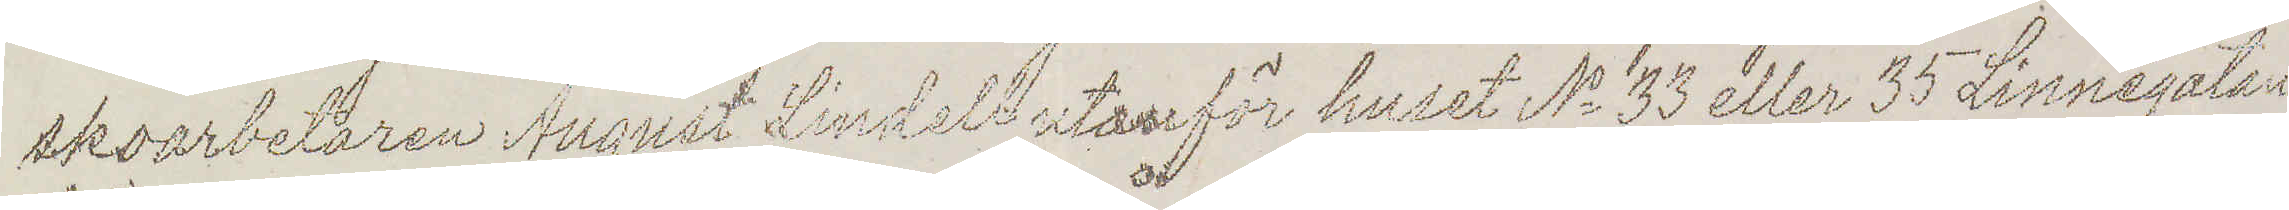skoarbetaren August Lindell utanför huset No 33 eller 35 Linnégatan
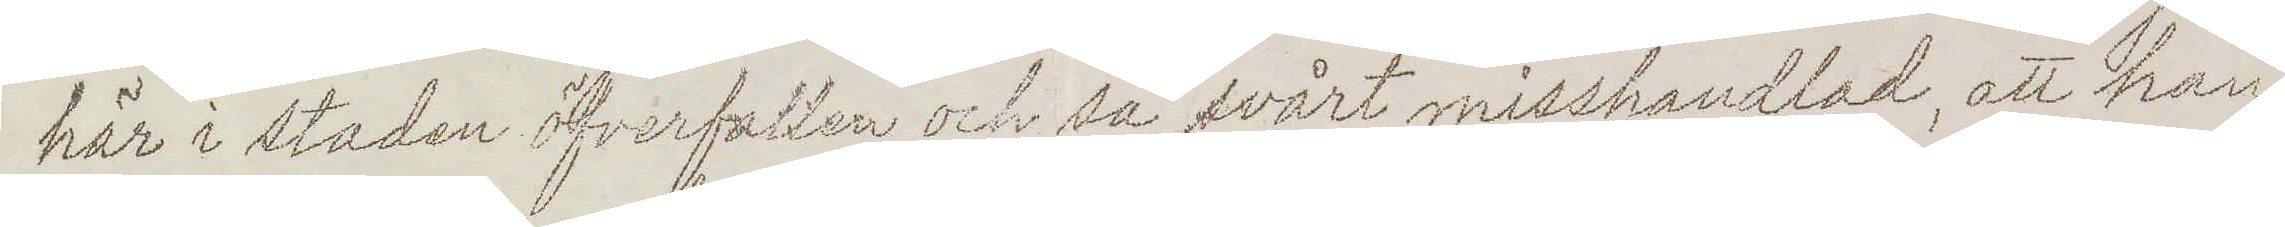här i staden öfverfallen och så svårt misshandlad att han
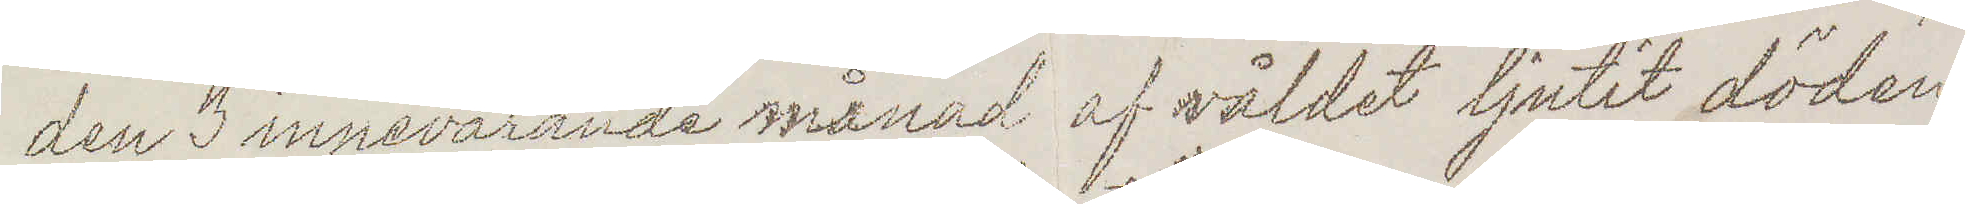den 3 innevarande månad af våldet ljutit döden.
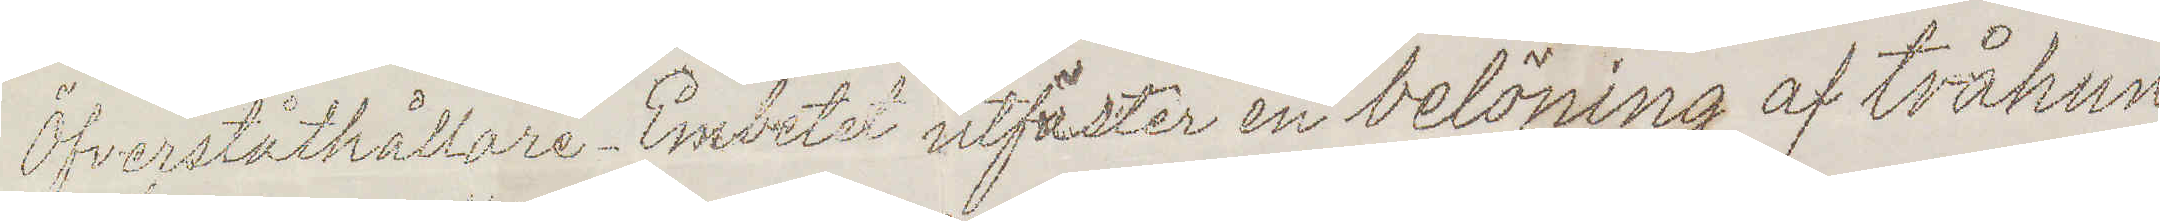Öfverståthållare-Embetet utfäster en belöning af tvåhun¬
